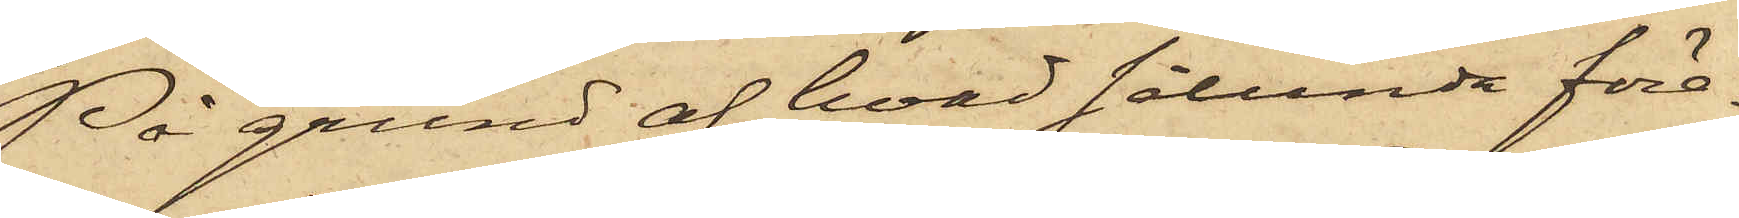På grund af hvad sålunda före¬
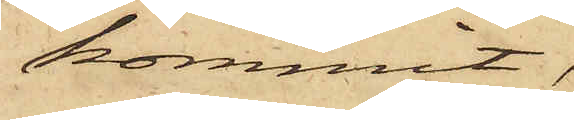kommit,
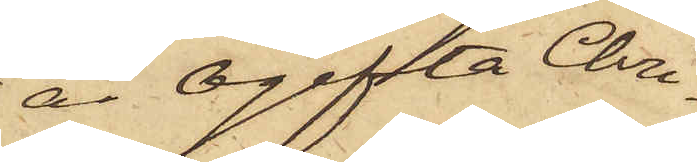är ogifta Chri¬
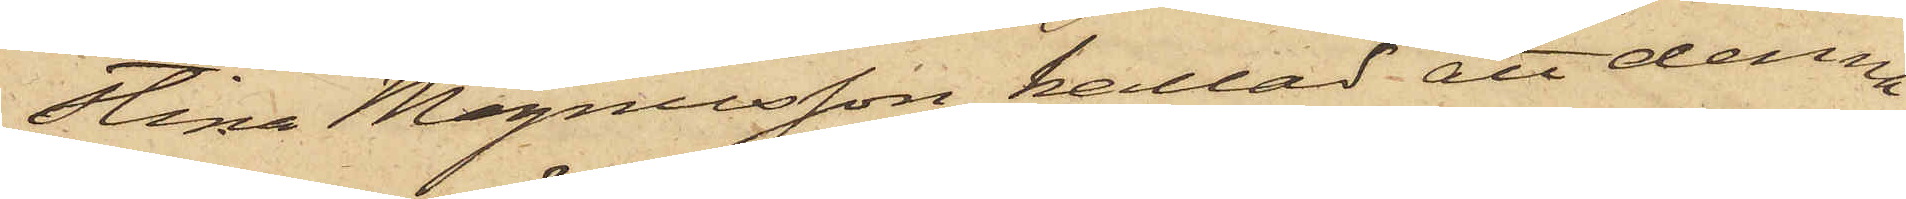stina Magnusson kallad att denna
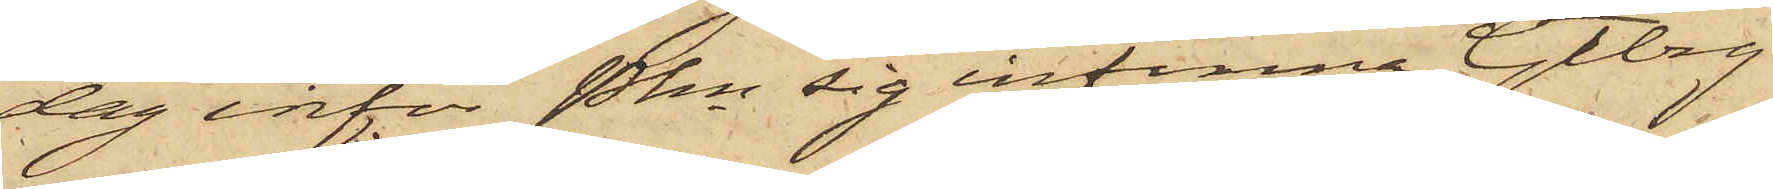dag inför Pkn sig infinna Gtbrg
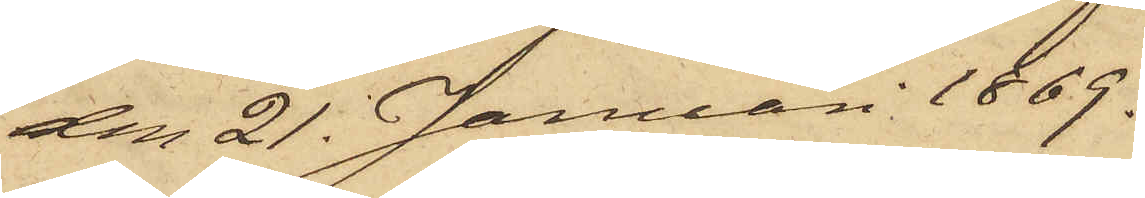den 21. Januari 1869.
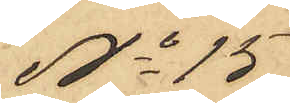No 15
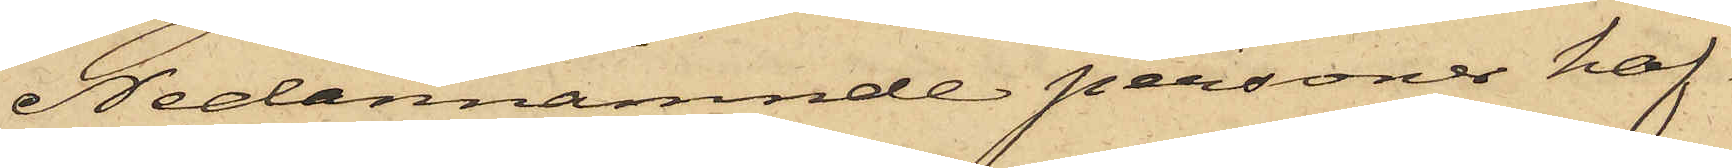Nedannämnde personer haf¬
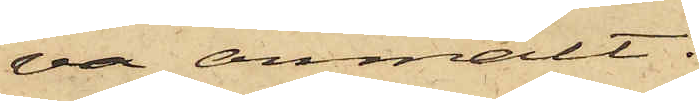va anmält.
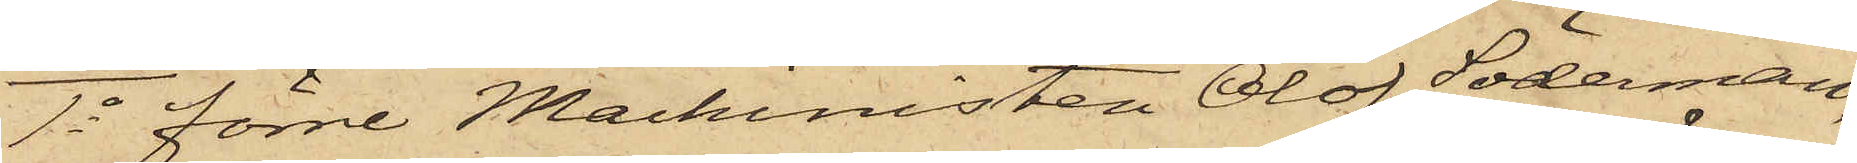1o förre Machinisten Olof Söderman,
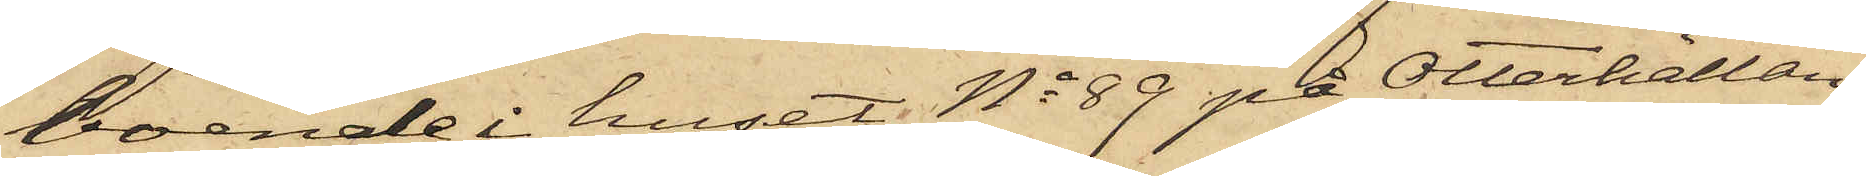boende i huset No 89 på Otterhällan,
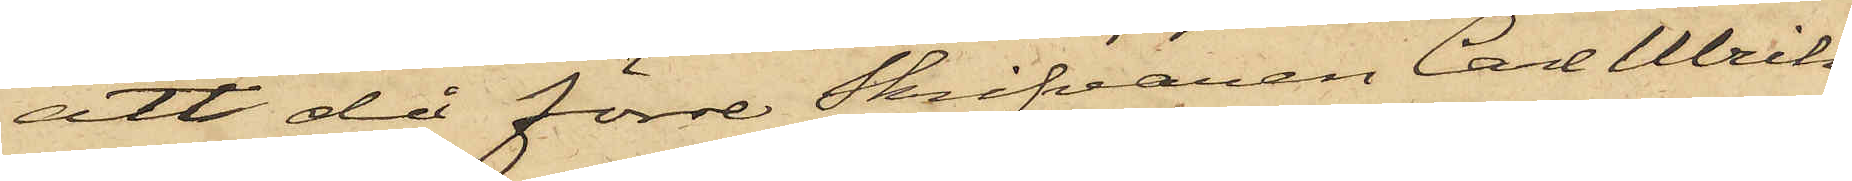att då förre Skrifvaren Carl Ulrik
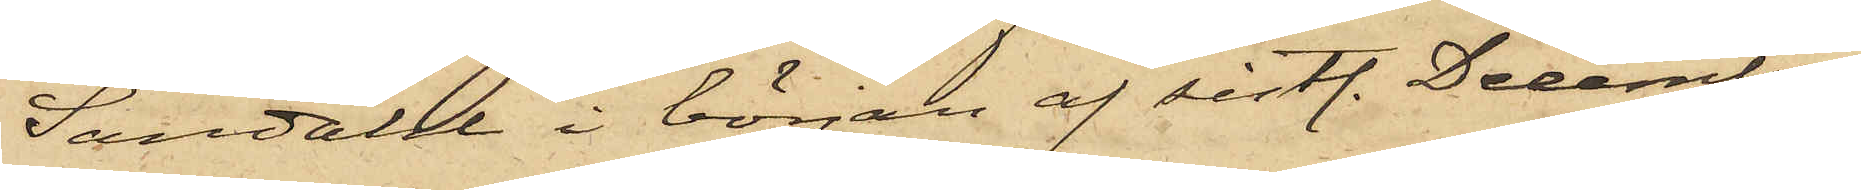Sandahl i början af sistl. December
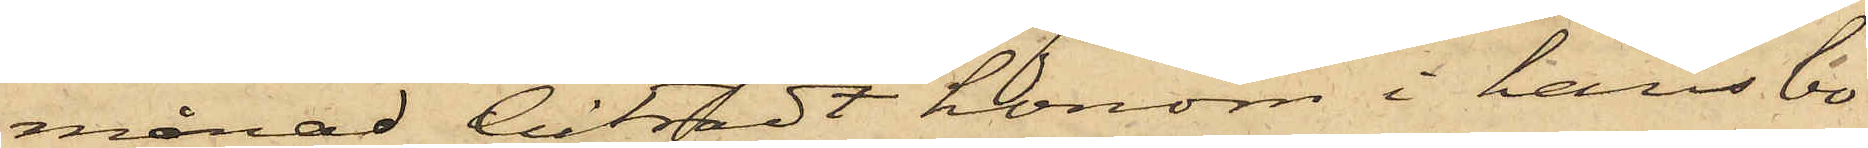månad biträdt honom i hans bo¬
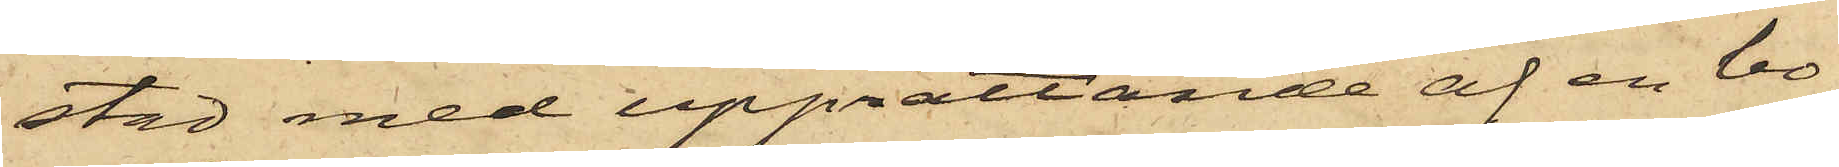stad med upprättande af en bo¬
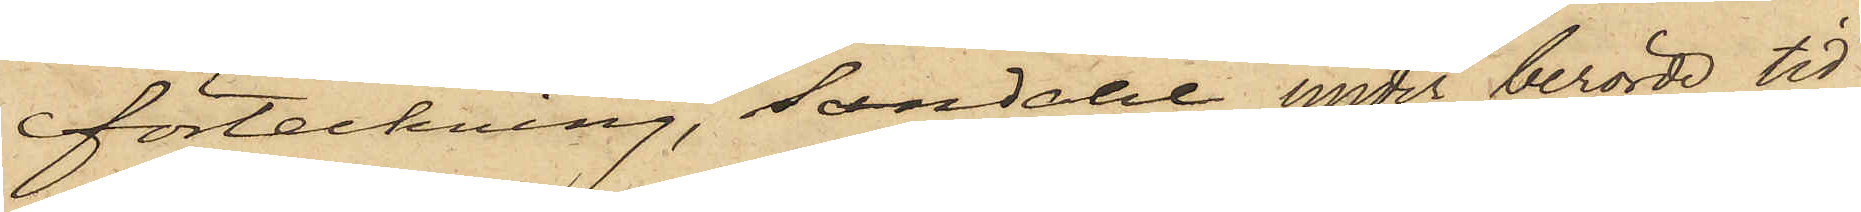förteckning, Sandahl under berörde tid
